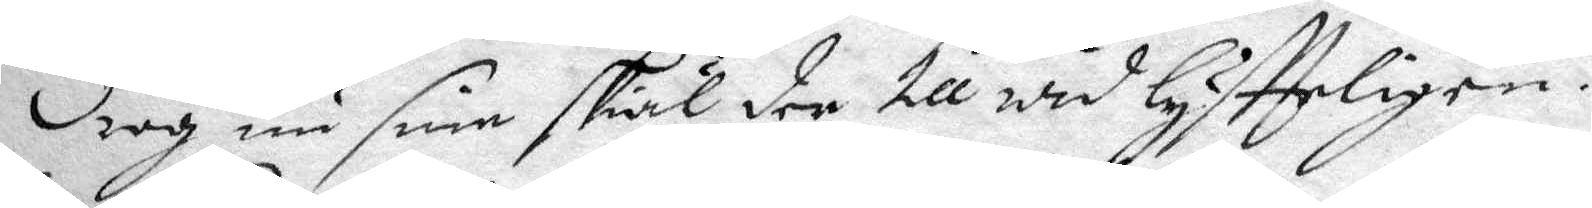drog nu sine skiäl der till widlyftteligen.
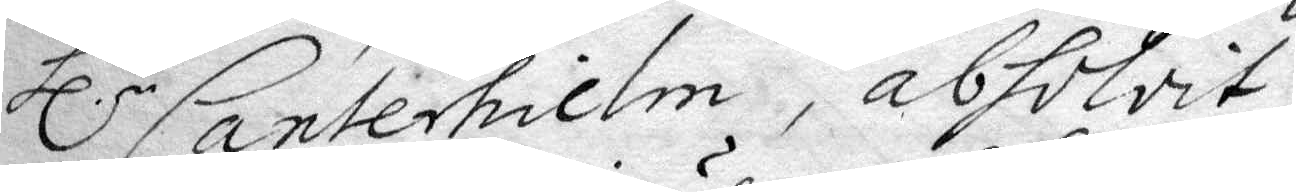hl.r Canterhielm, absolvit.
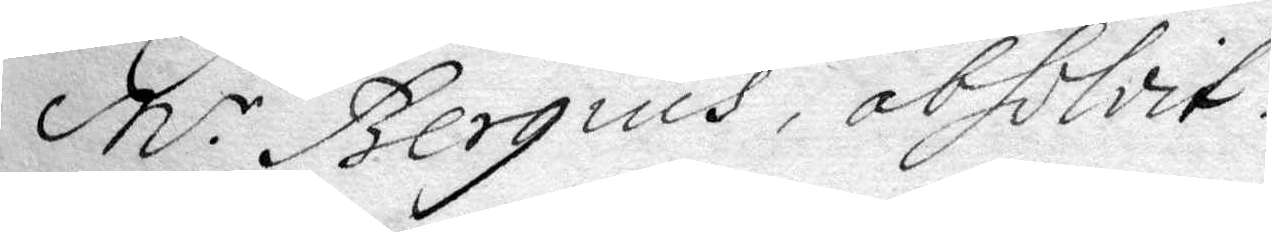M.r Bergius, absolvit.
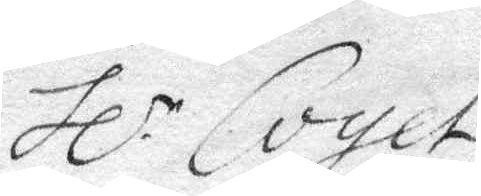hl.r Coyet
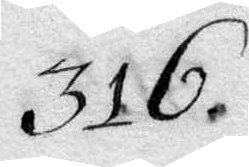316.
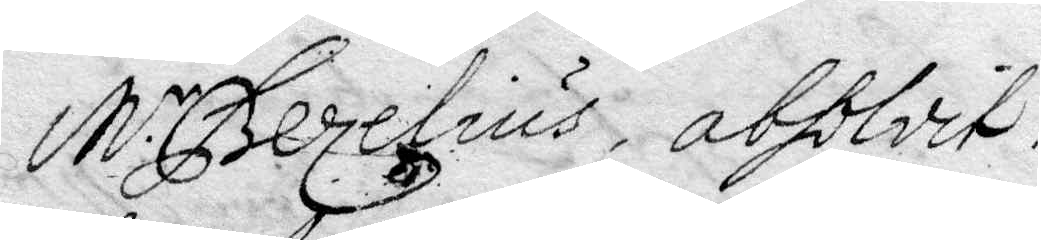M.r Bezelius, absolvit.
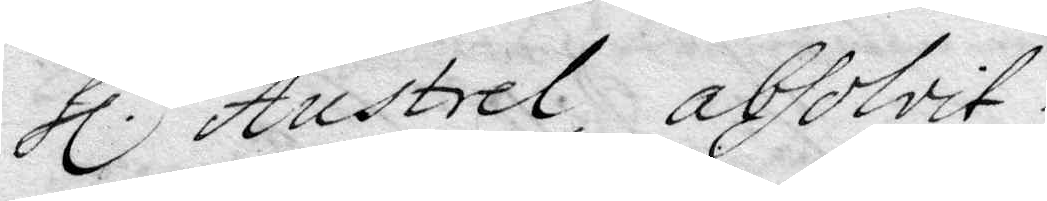Hl.r Austrel, absolvit.
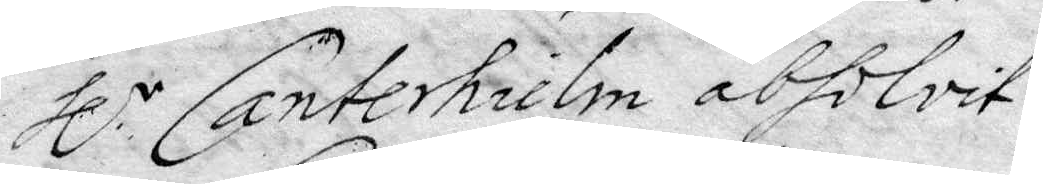Hl.r Canterhielm absolvit.
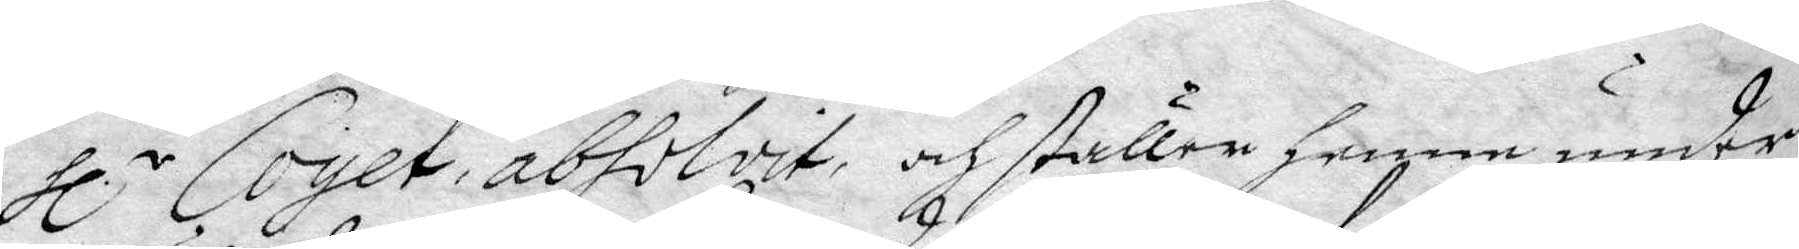Hl.r Coyet, absolvit, och ställer Henne under
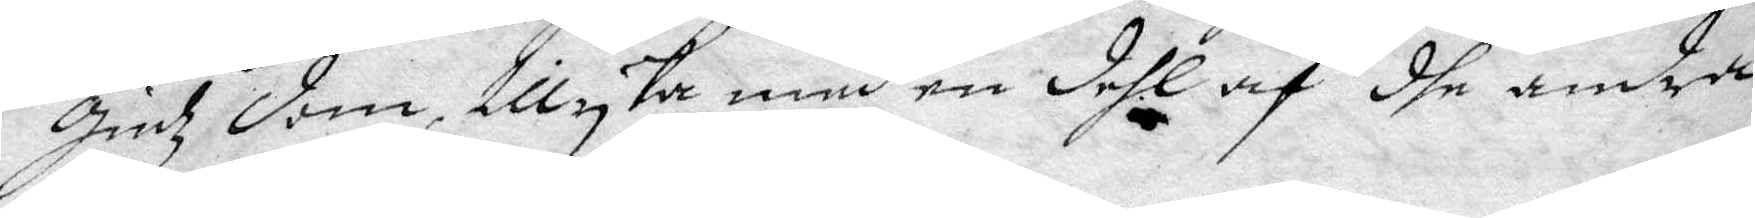Gudz dom, tillika med en dehl af dhe andra
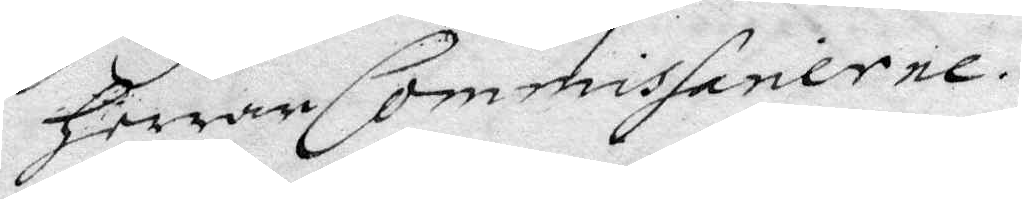Herrar Commissarierne.
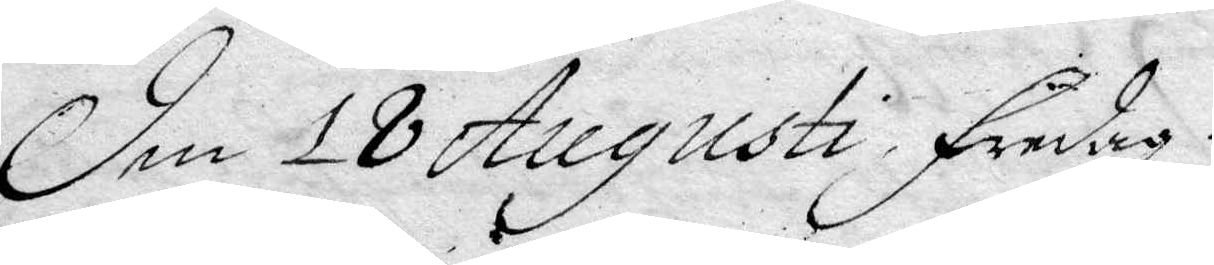den 18 Augusti fredag.
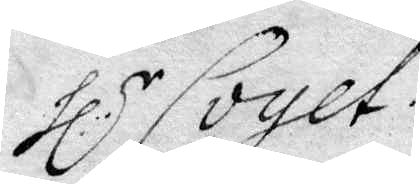Hl.r Coyet.
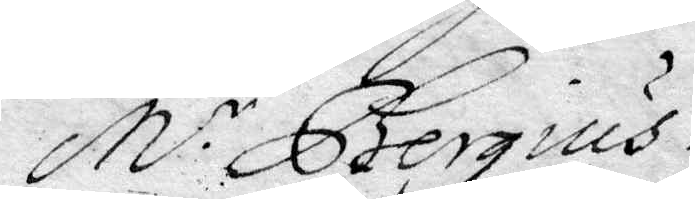M.r Bergius.
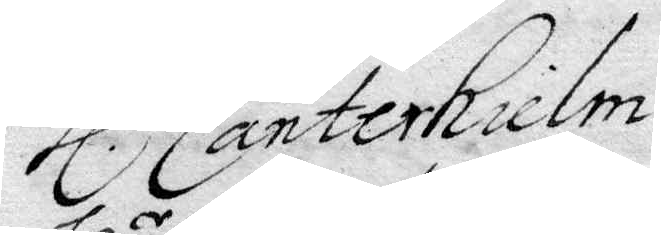Hl.r Canterhielm
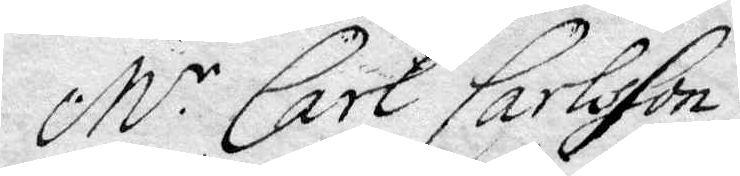M.r Carl Carlsson.
